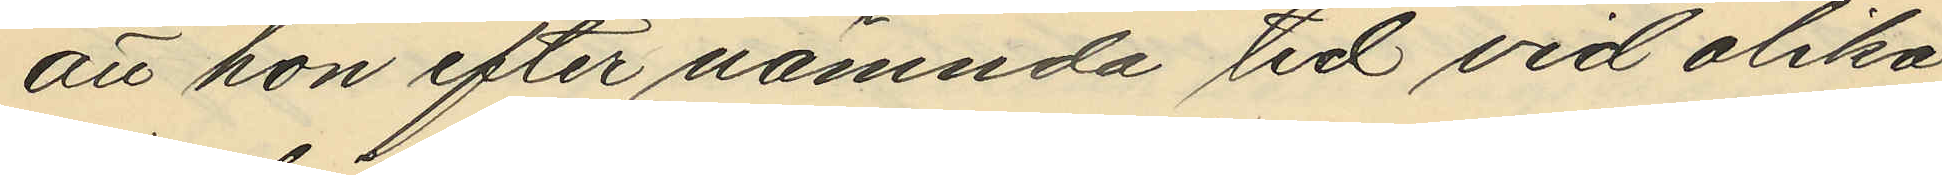att hon efter nämnda tid vid olika
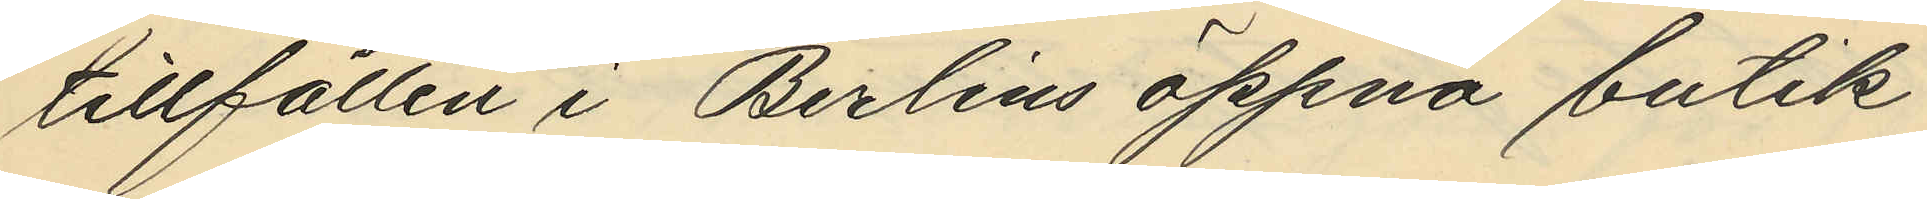tillfällen i Berlins öppna butik
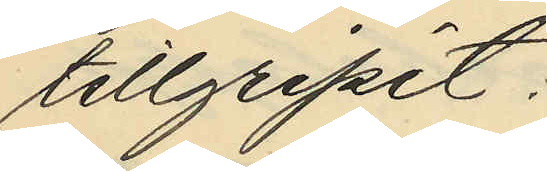tillgripit:
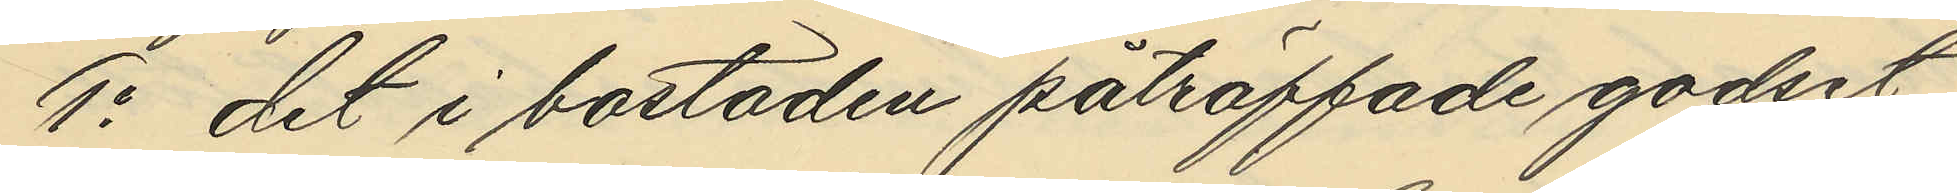1o det i bostaden påträffade godset,
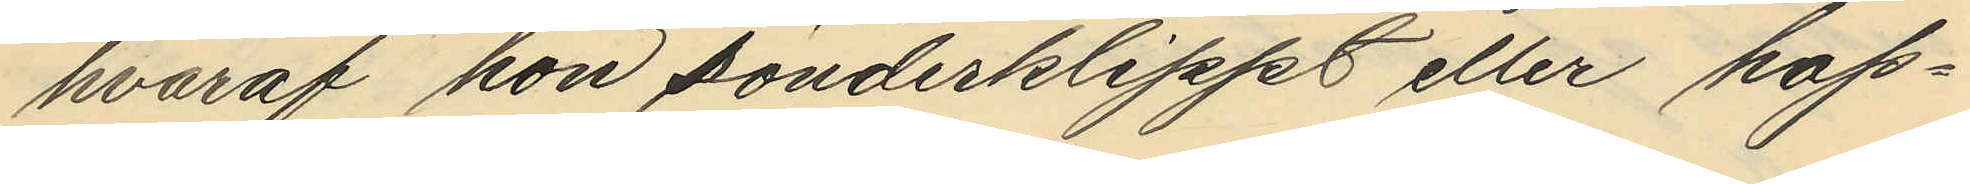hvaraf hon sönderklippt eller hop¬
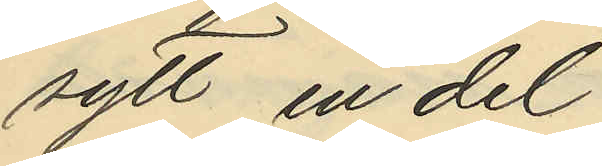sytt, en del
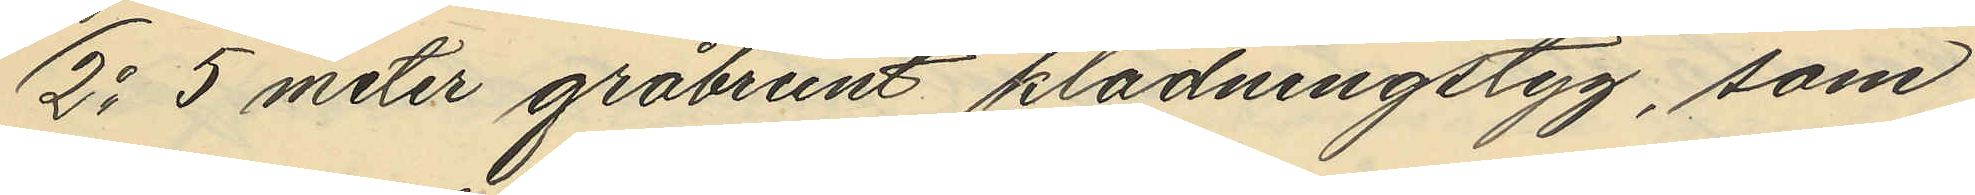2o 5 meter gråbrunt klädningstyg, som
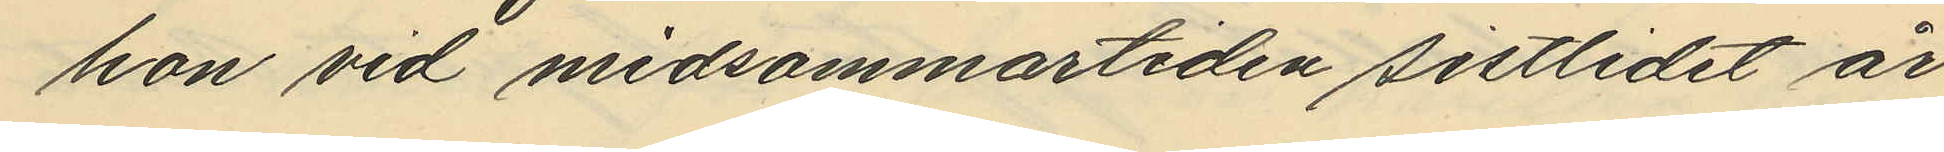hon vid midsommartiden sistlidet år
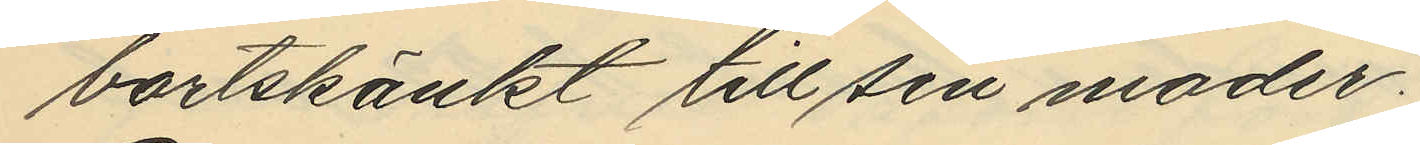bortskänkt till sin moder
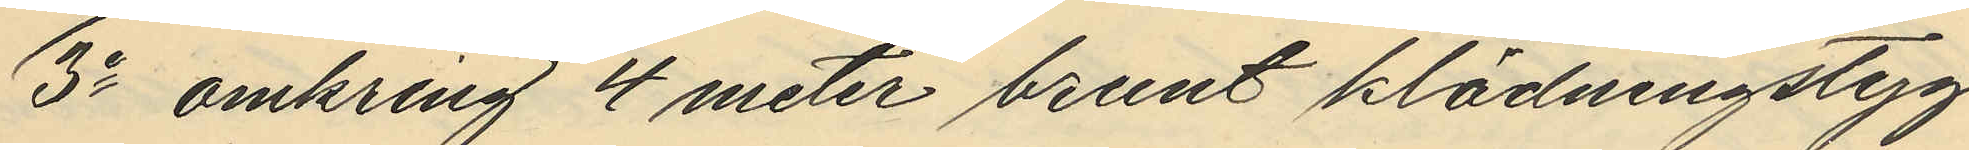3o omkring 4 meter brunt klädningstyg
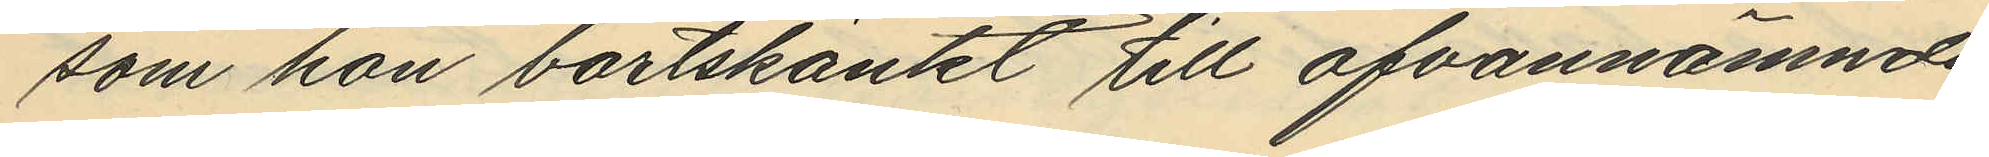som hon bortskänkt till ofvannämnda
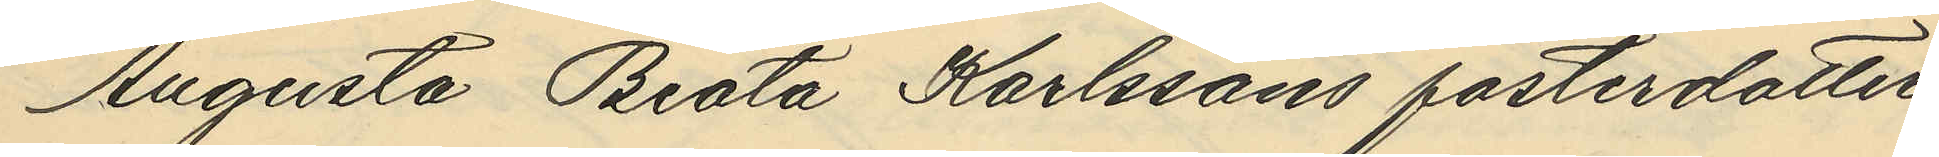Augusta Beata Karlssons fosterdotter
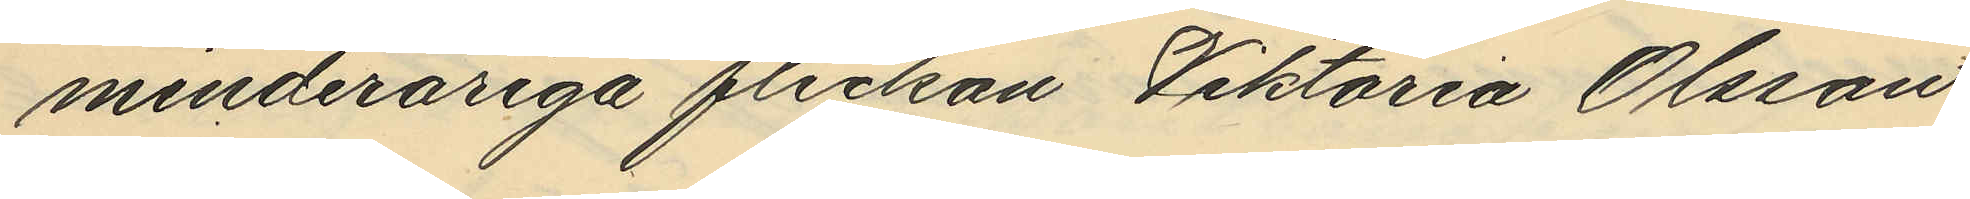minderåriga flickan Viktoria Olsson
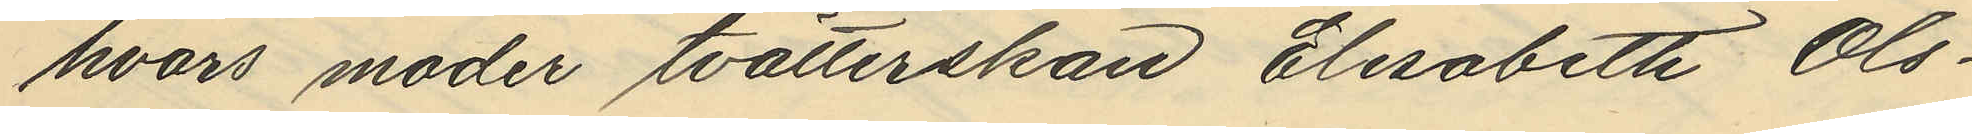hvars moder tvätterskan Elisabetk Ols¬
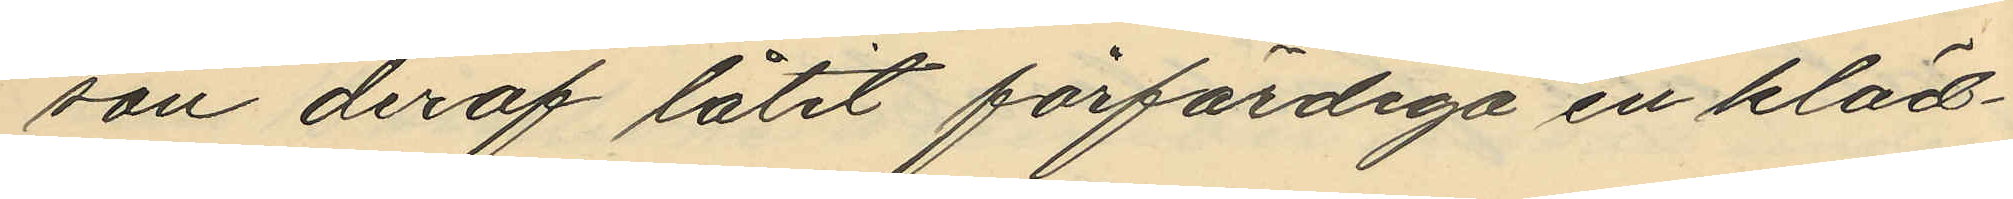son deraf låtit förfärdiga en kläd¬
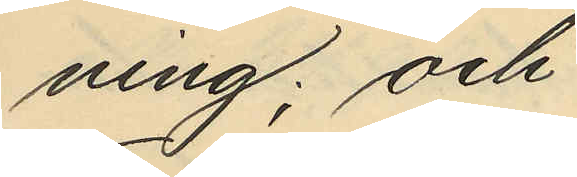ning; och
